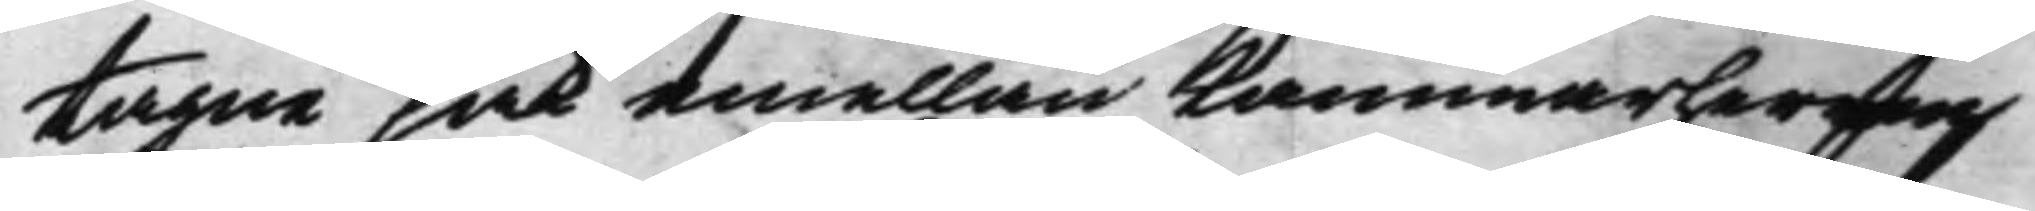tagne sak emellan Kammarherren
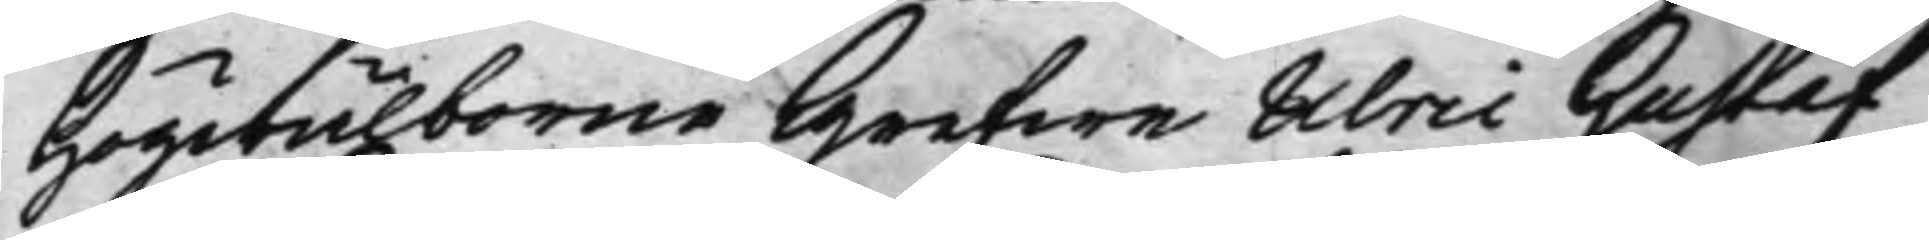Högwälborne Grefwe Ulric Gustaf
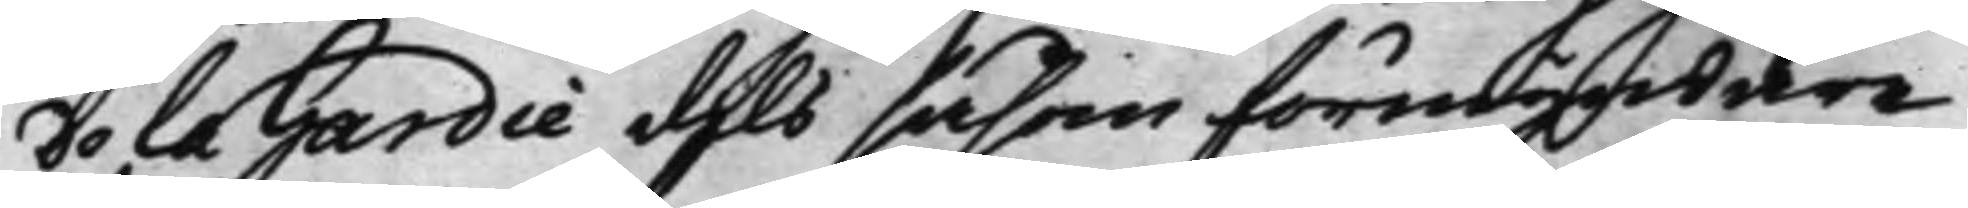De la Gardie dels såsom förmyndare
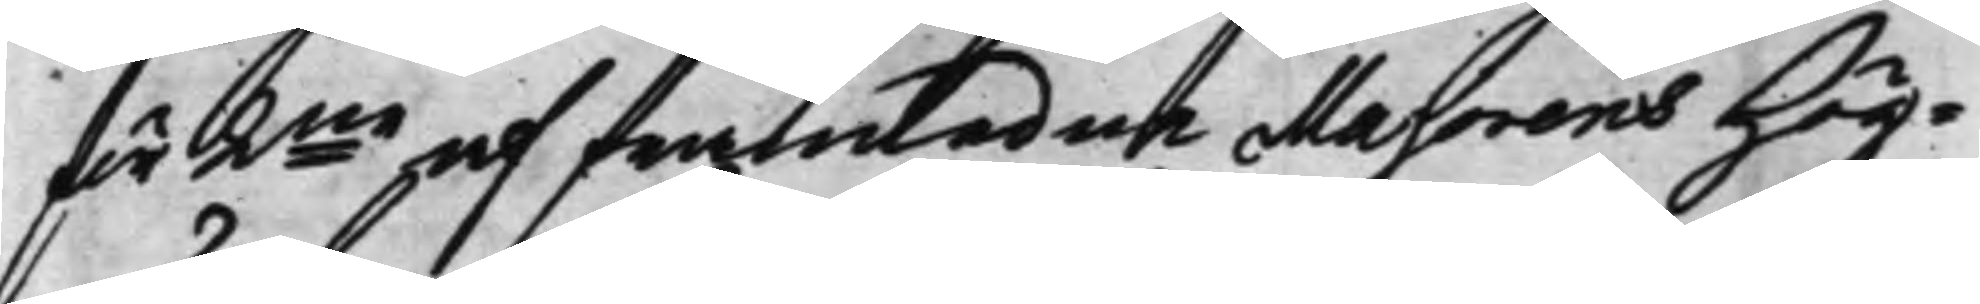för 2ne af framledne Majorens Hög¬ 
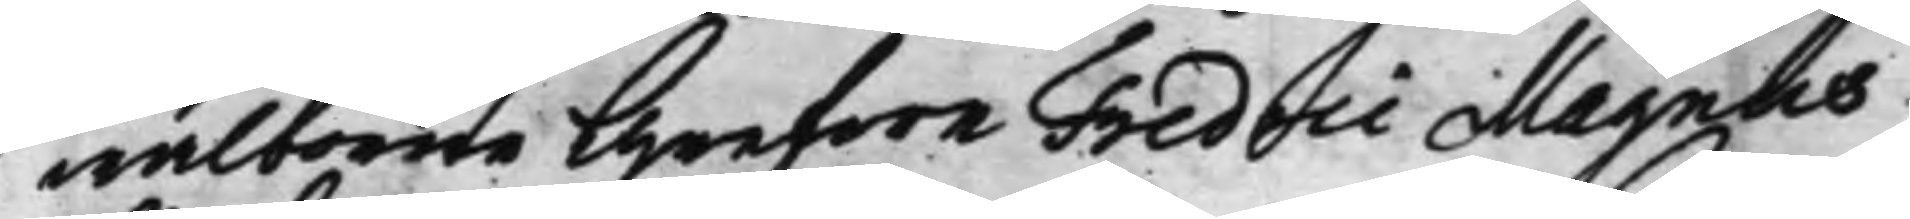wälborne Grefwe Fredric Magnus
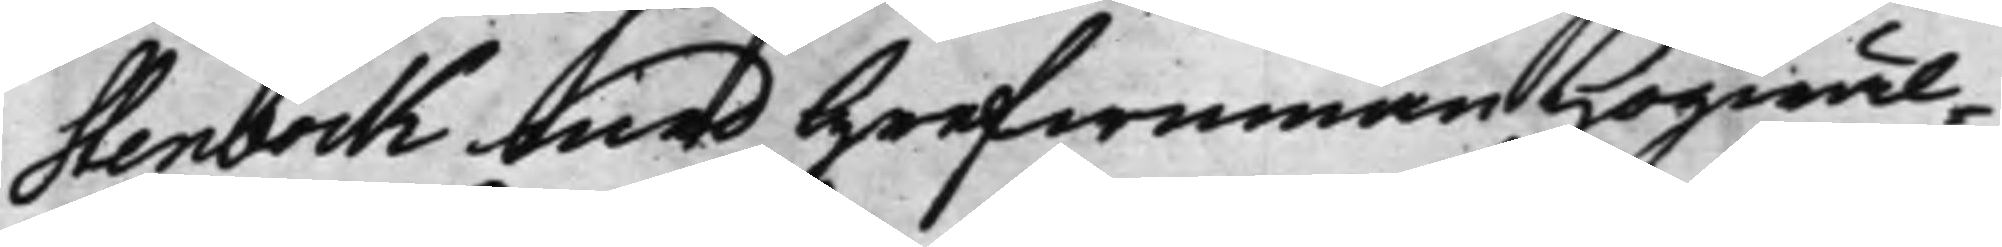Stenbock med Grefwinnan Högwäl¬
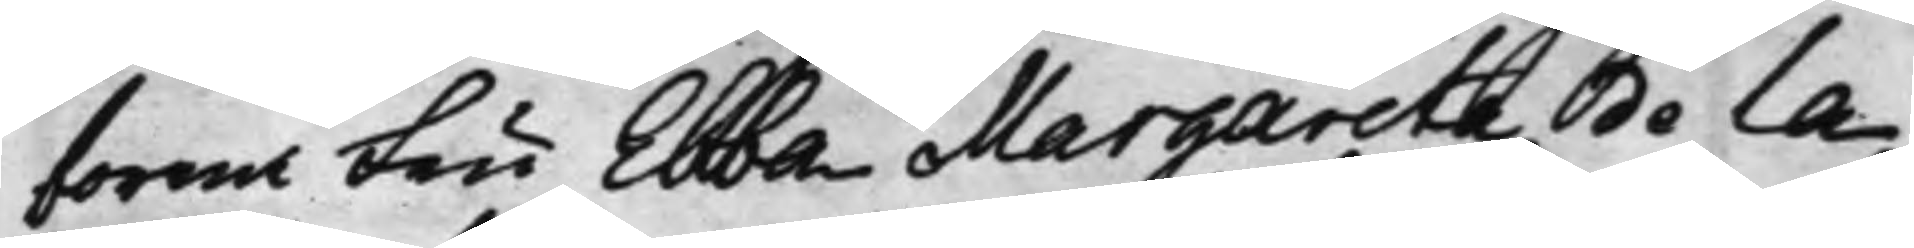borna Fru Ebba Margareta de la
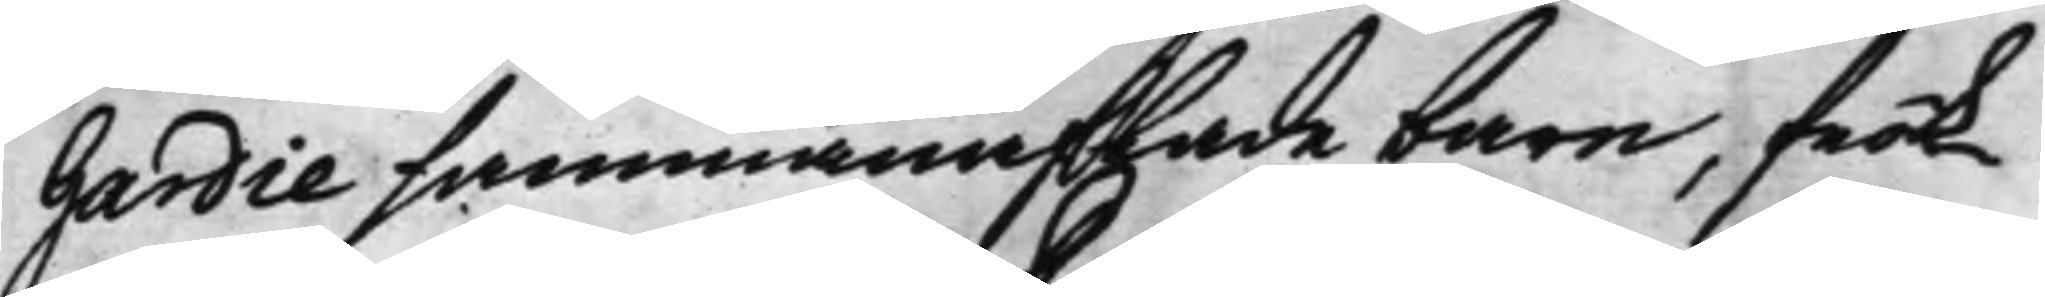Gardie sammanaflade barn, frök¬
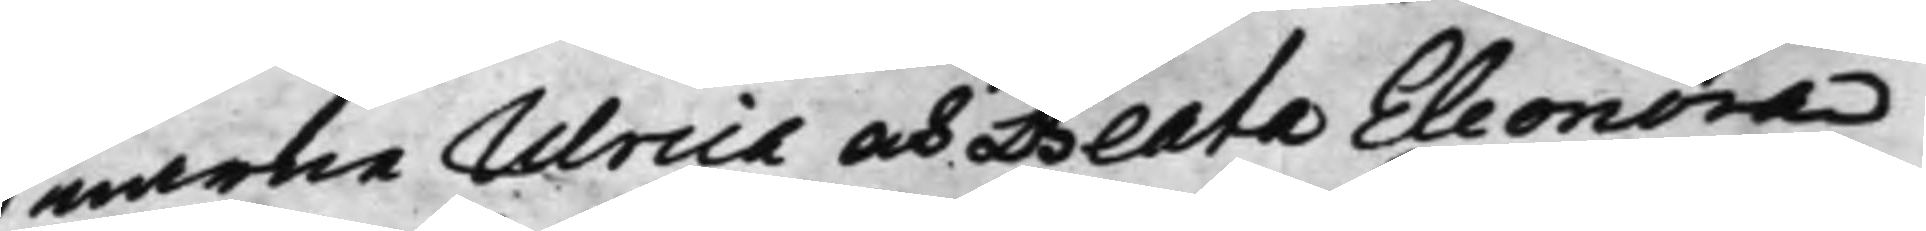narne Ulrica och Beata Eleonora
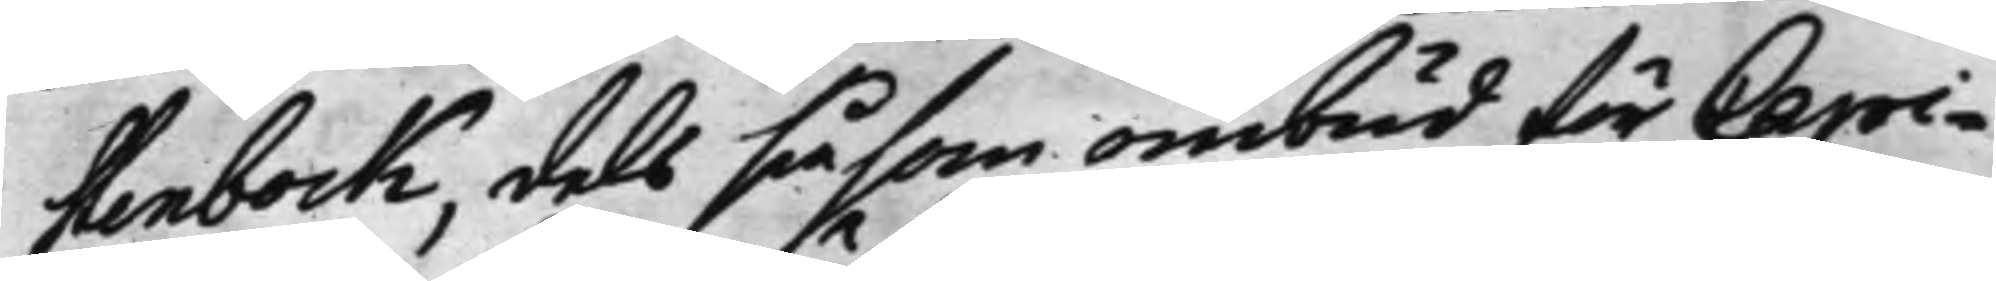Stenbock, dels såsom ombud för Capi¬
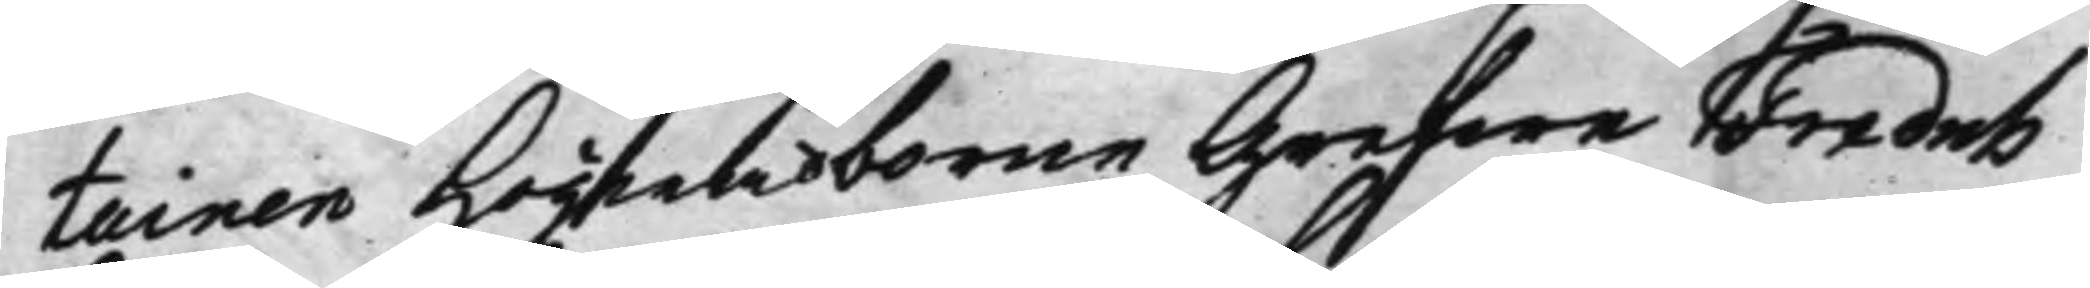tainen Högwälborne Grefwe Fredrik
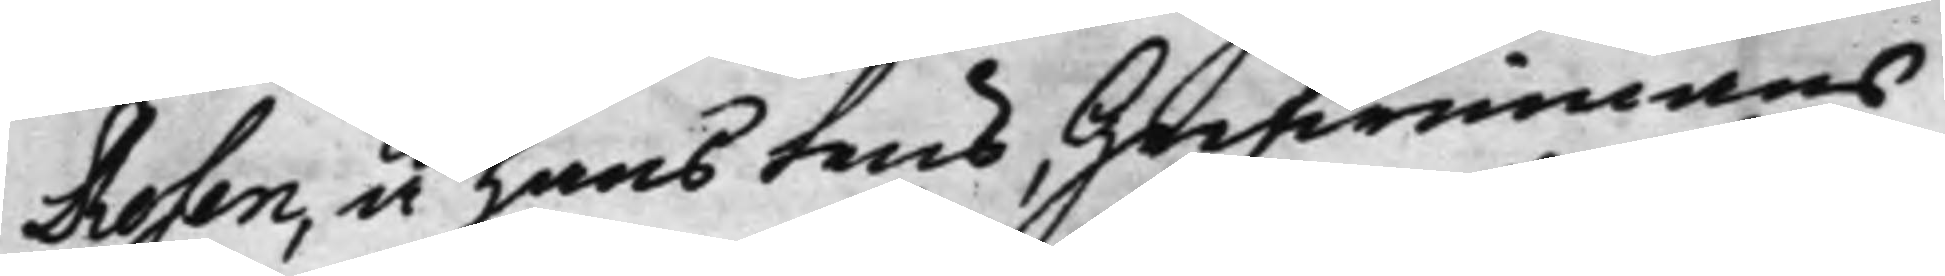Rosen, å hans Frus Grefwinnans
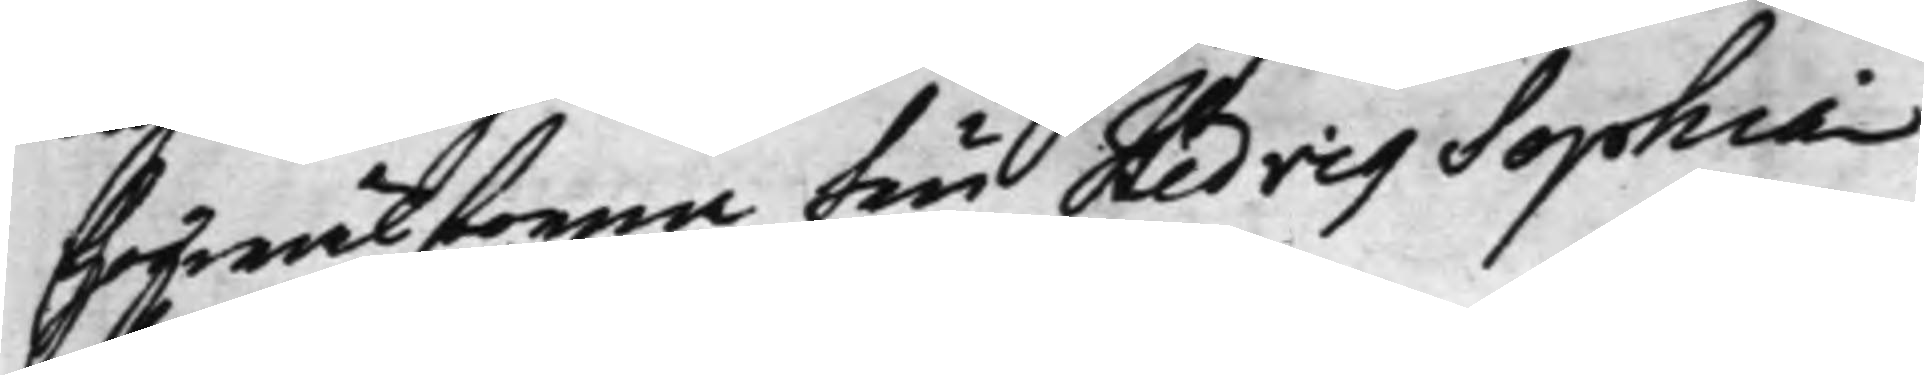Högwälborna Fru Hedvig Sophia
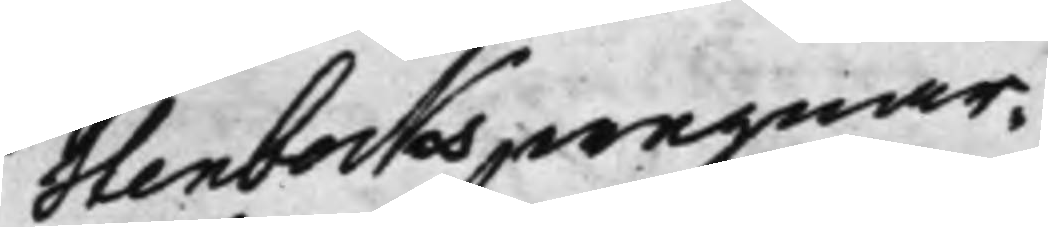Stenbocks wegnar.
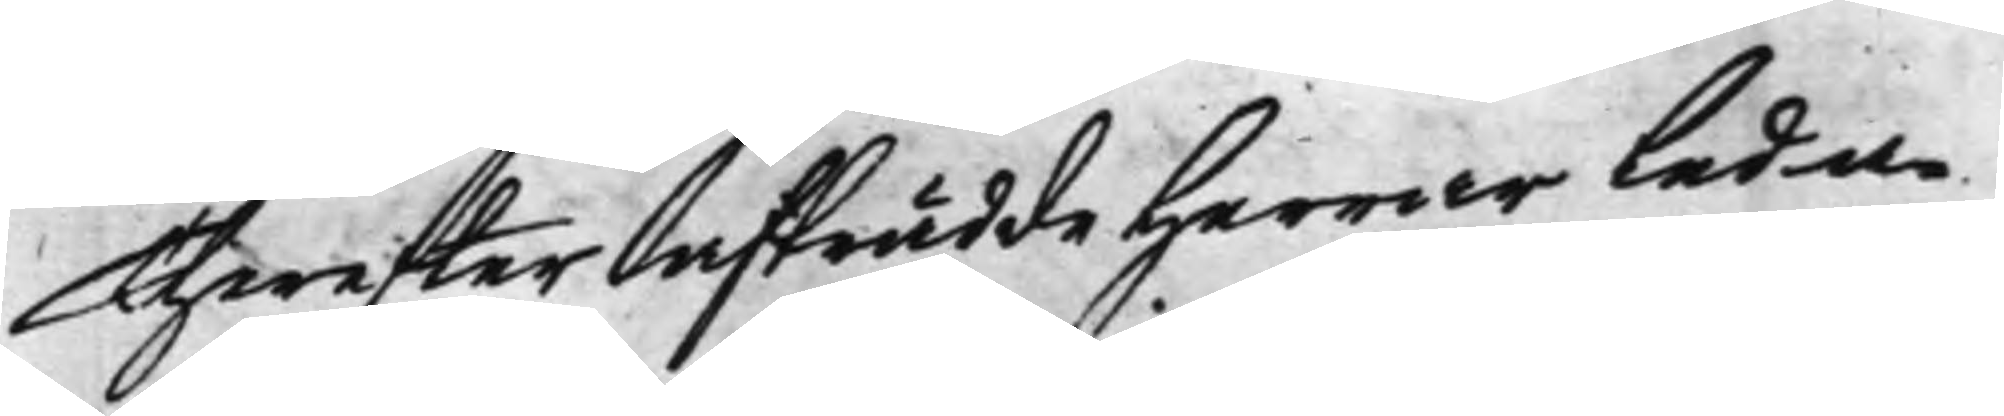Therefter afträdde Herrar Leda¬
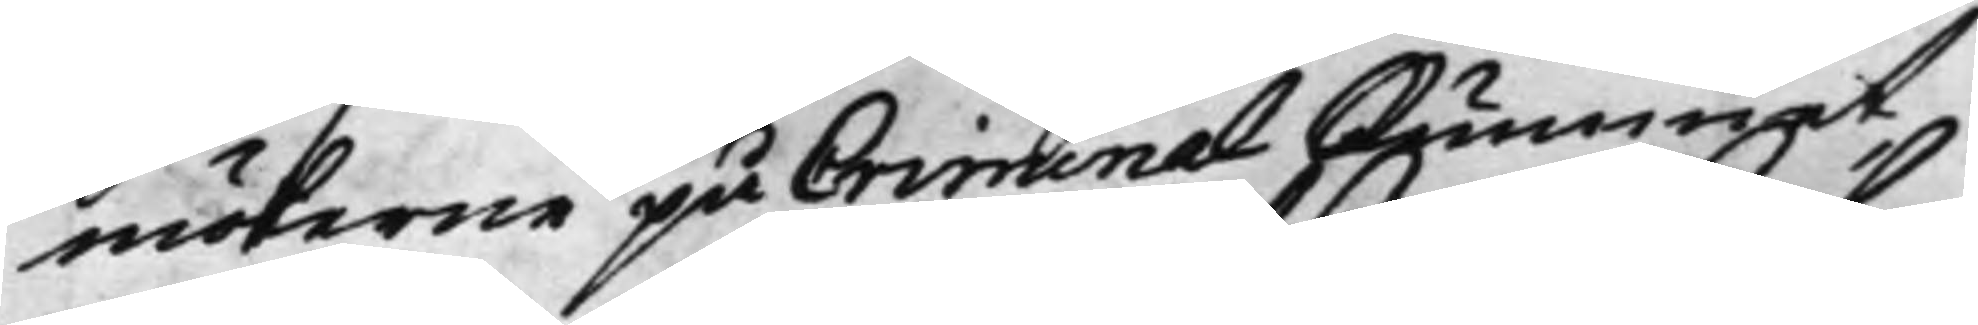möterne på Criminal Rummet,
